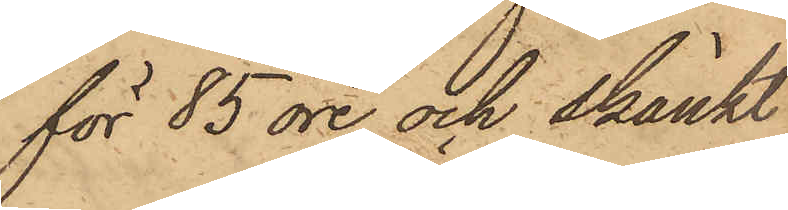för 85 öre och skänkt
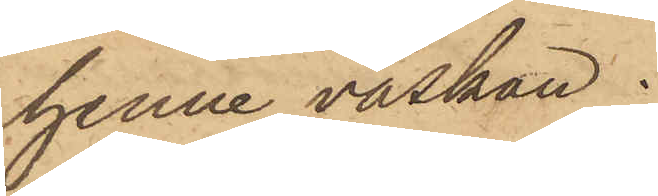henne väskan;
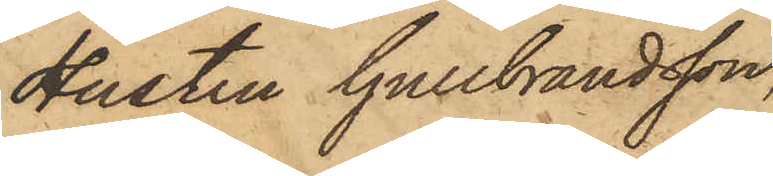Hustru Gullbrandsson,
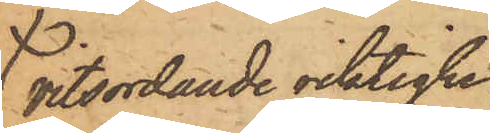vitsordande riktighe¬
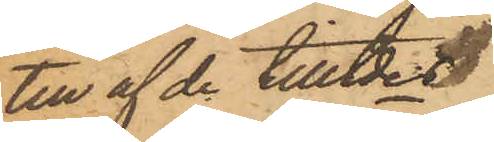ten af de tilltdes
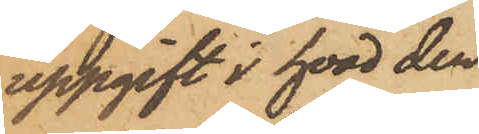uppgift i hvad den
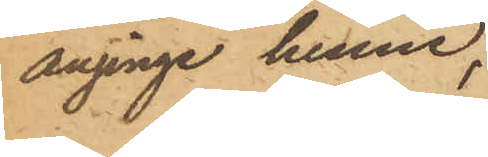anginge henne,
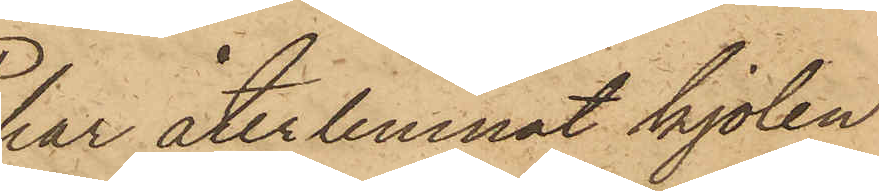har återlemnat kjolen
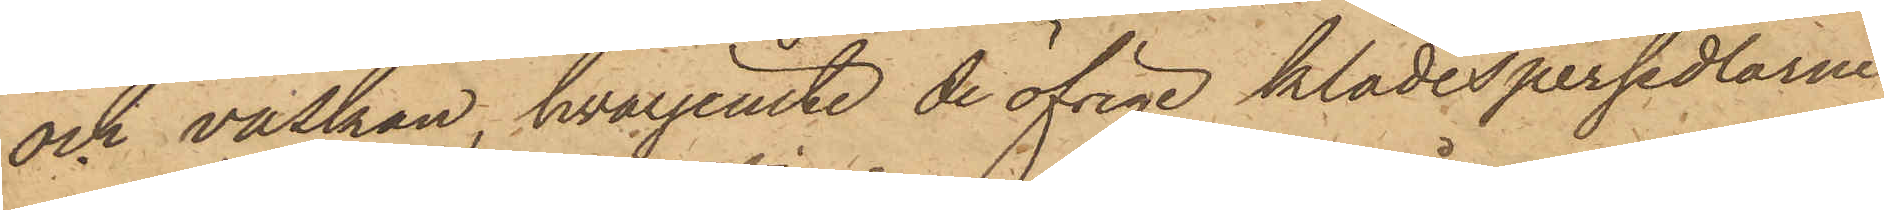och väskan, hvarjemte de öfriga klädespersedlarne
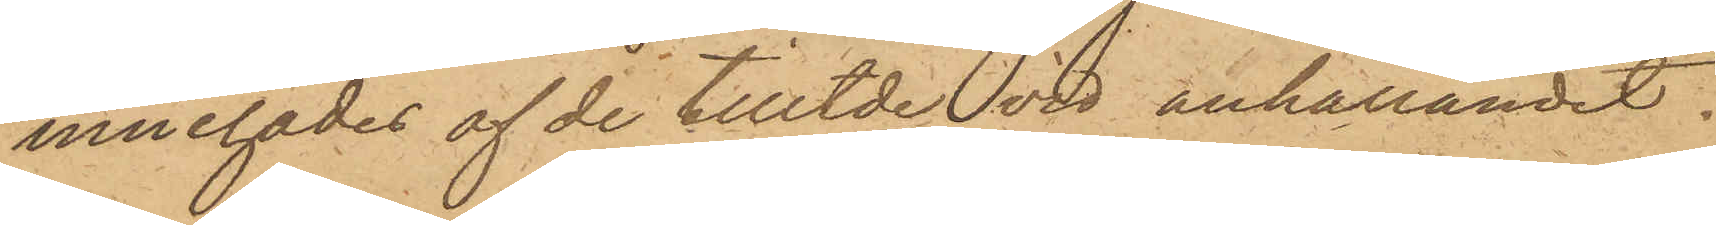innehades af de tilltde vid anhållandet.
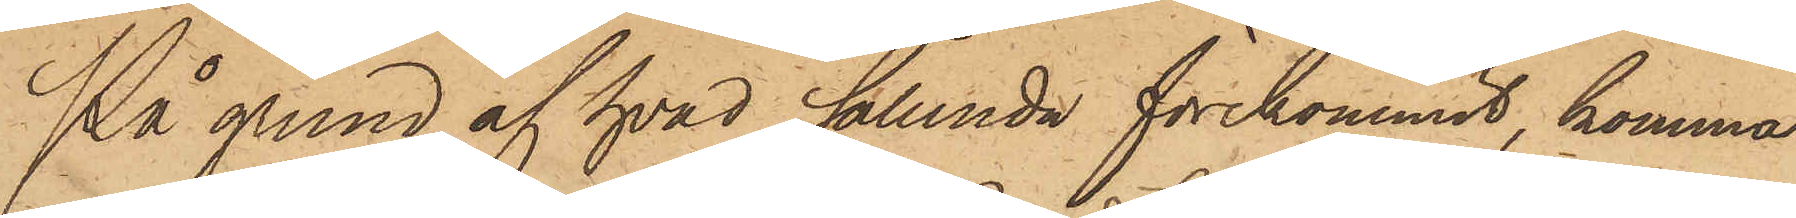På grund af hvad sålunda förekommit, komma
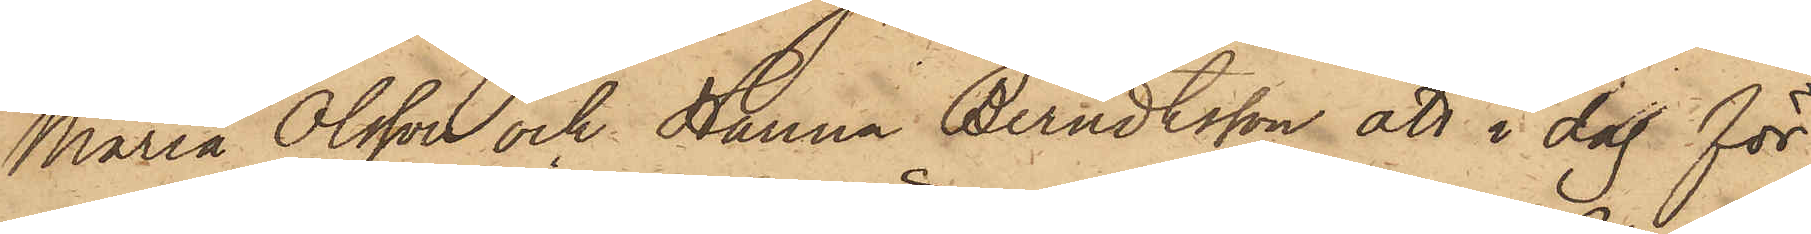Maria Olsson och Hanna Berndtsson att i dag för
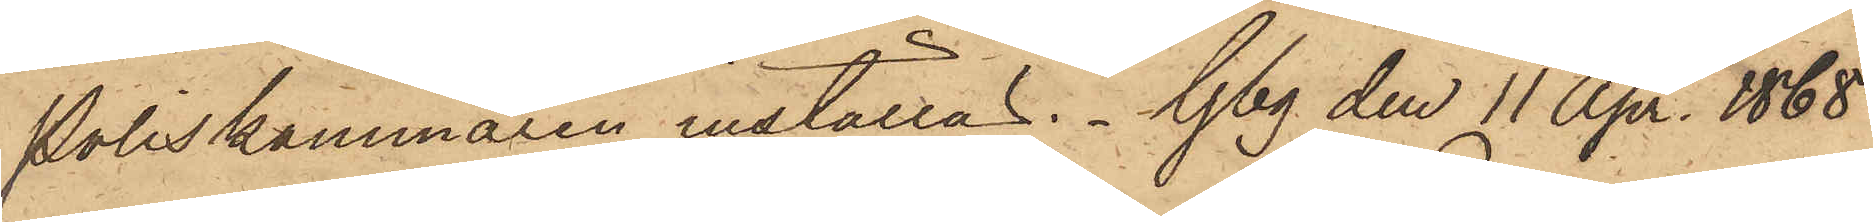Poliskammaren inställas. Gbg den 11 Apr. 1868.
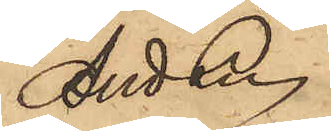And Ln
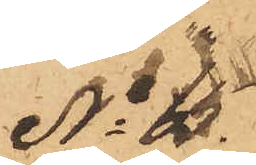No 65.
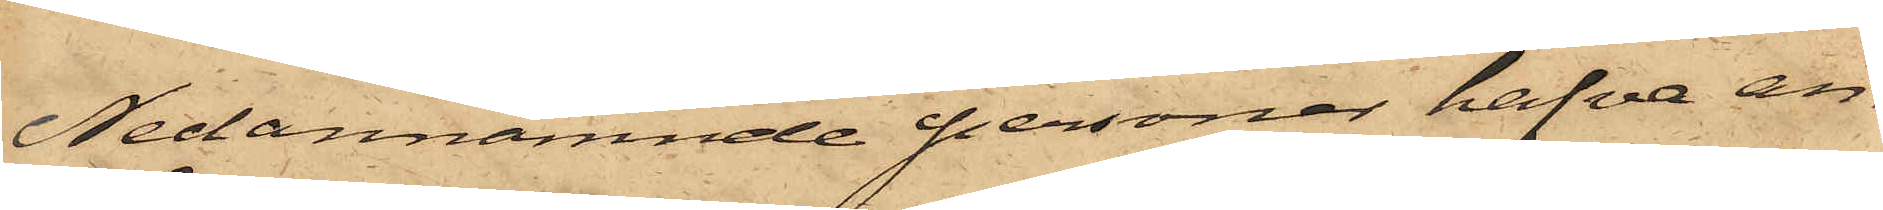Nedannämnde personer hafva an¬
